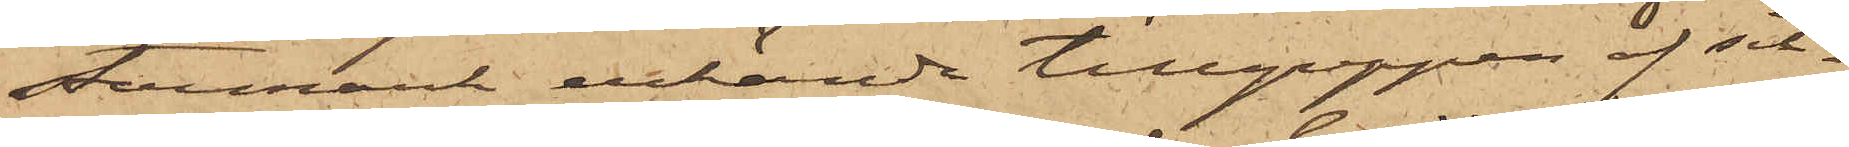stermark erkända tillgreppen af sil¬
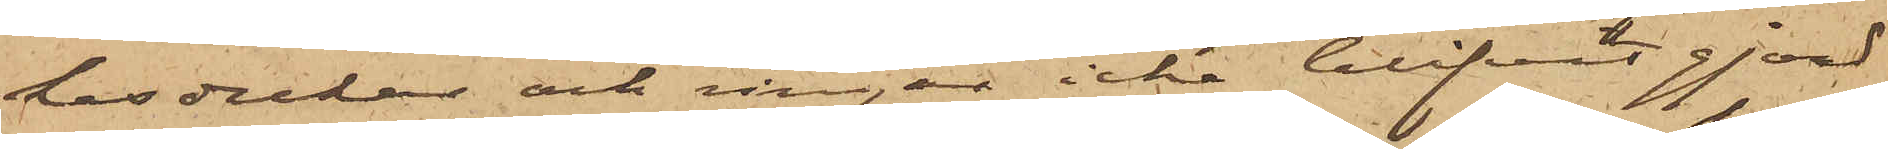kesdukar och ringar icke blifvit gjord
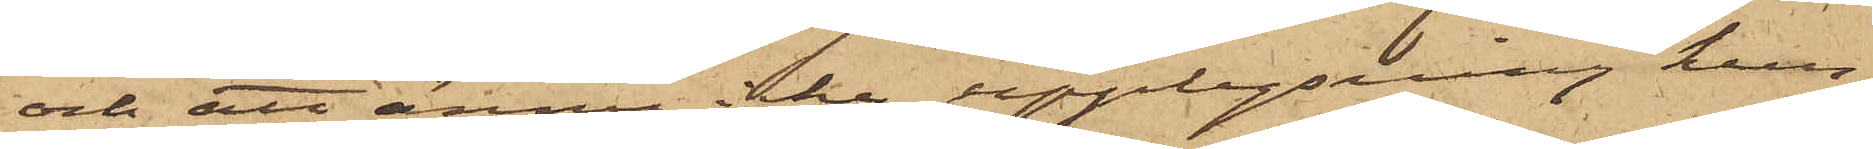och att ännu icke upplysning kun¬
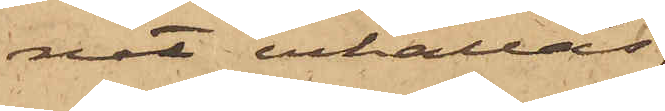nat erhållas
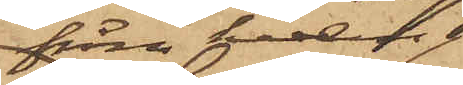från hvem
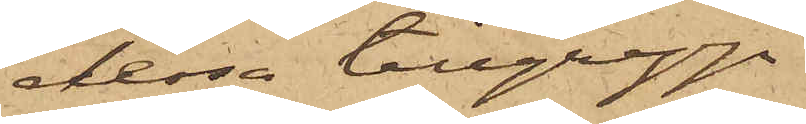dessa tillgrepp
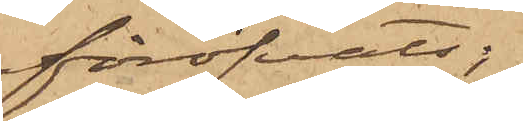föröfvats;
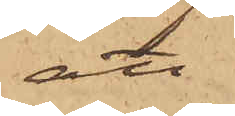att
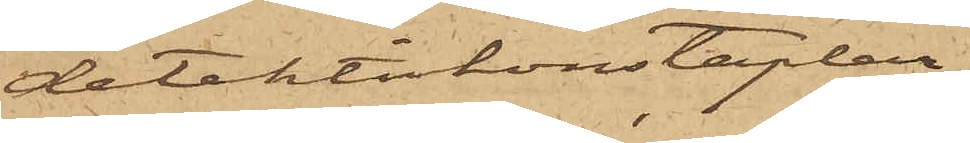detektivkonstaplar¬
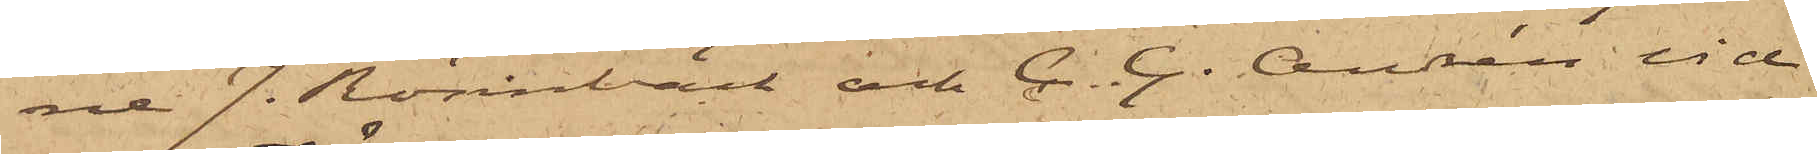ne J. Rönnbäck och C. G. Andrén vid
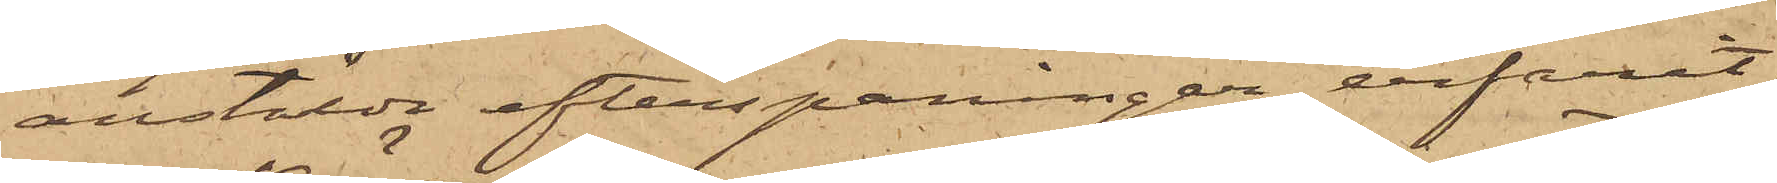anstälda efterspaningar erfarit,
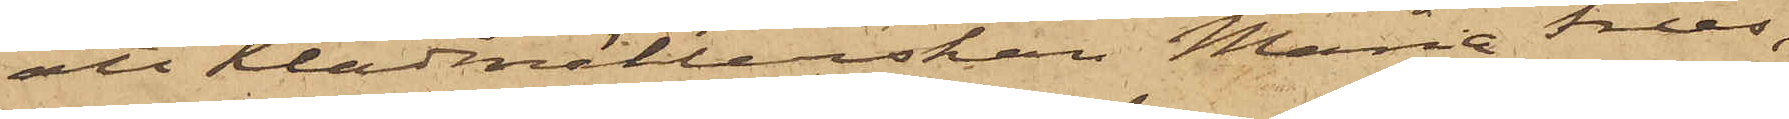att Klädmäkerskan Maria Fries,
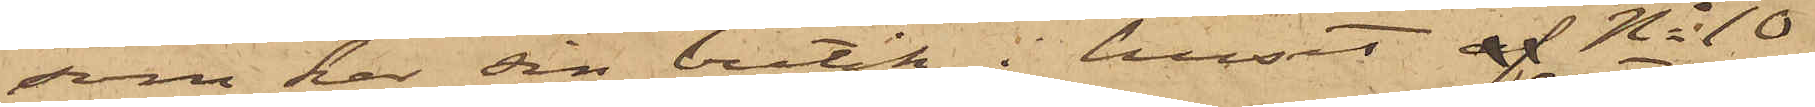som har sin butik i huset af No 10
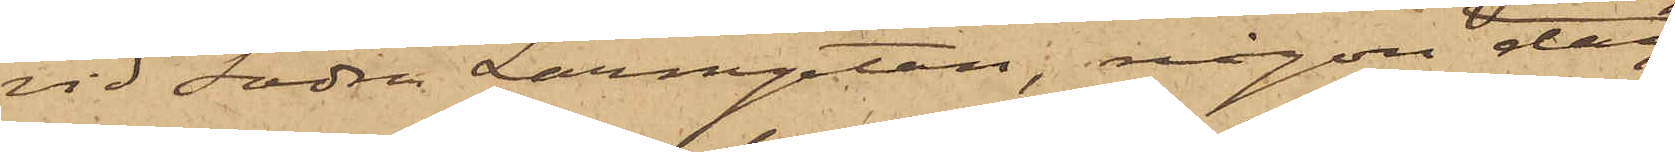vid Södra Larmgatan, någon dag
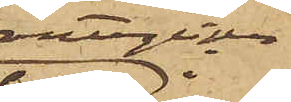antagligen i
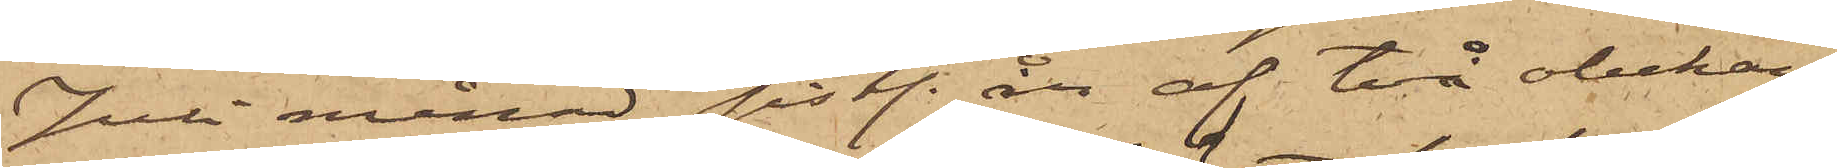Juli månad sistl. år af två obekan¬
